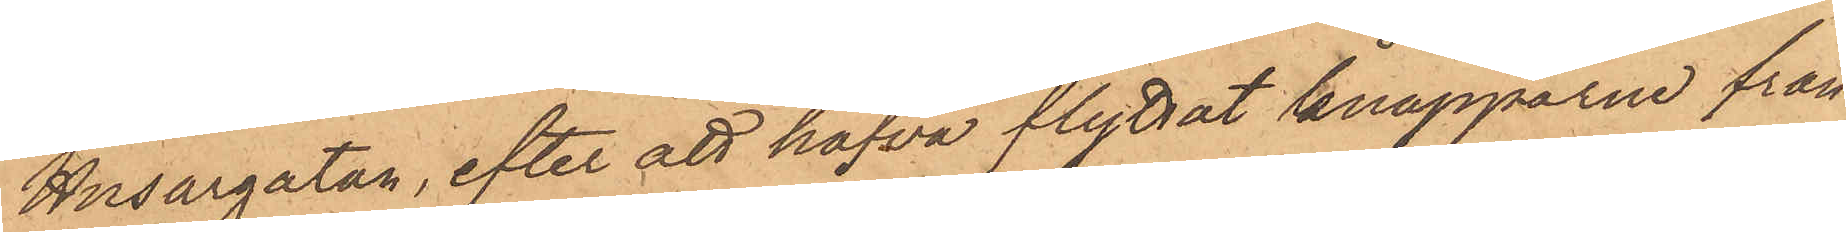Husargatan, efter att hafva flyttat knapparne från
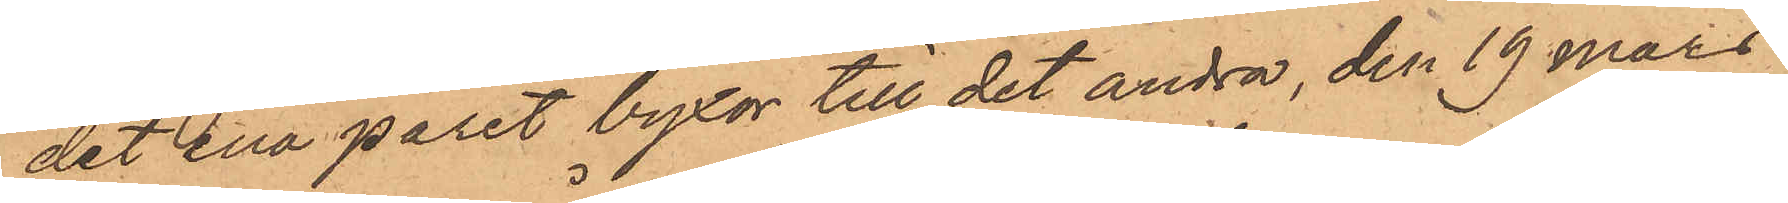det ena paret byxor till det andra, den 19 Mars
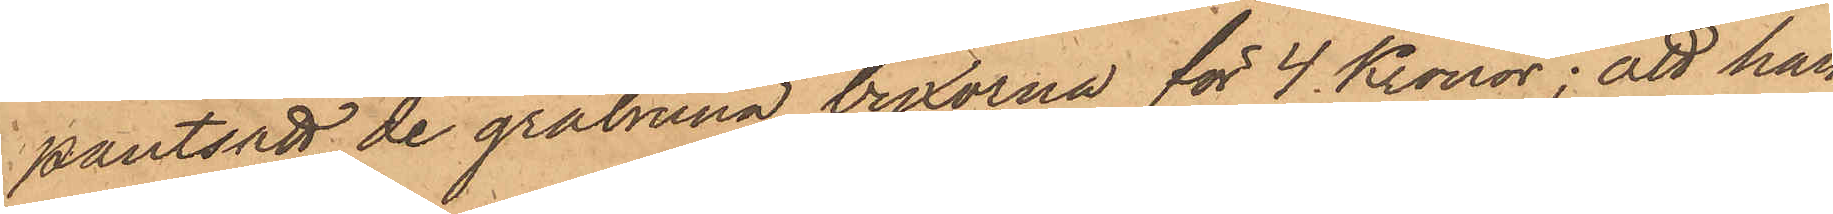pantsatt de gråbruna byxorna för 4 Kronor; att han
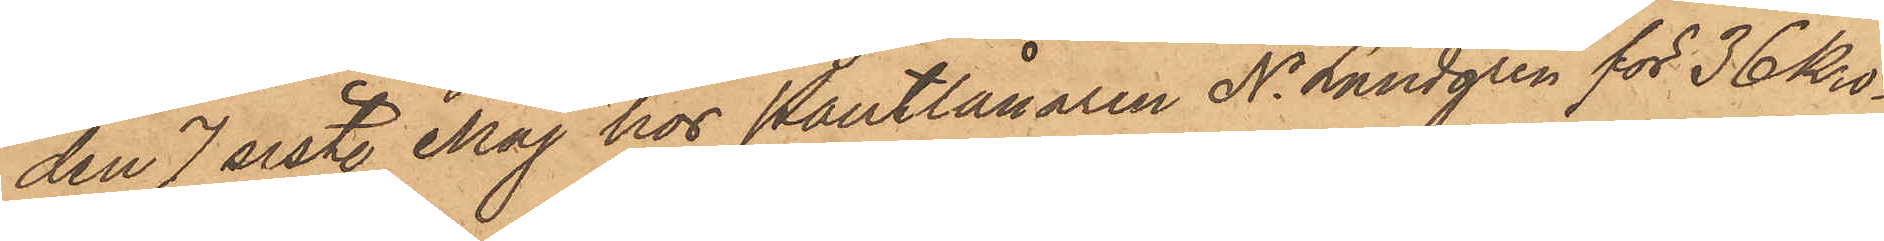den 7 sistl. Maj hos Pantlånaren N. Lundgren för 36 kro¬
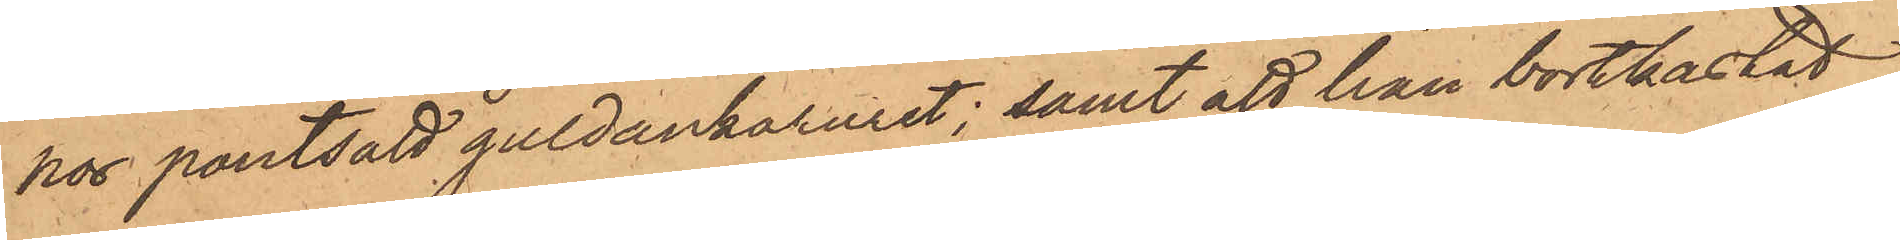hos pantsatt guldankaruret; samt att han bortkastat
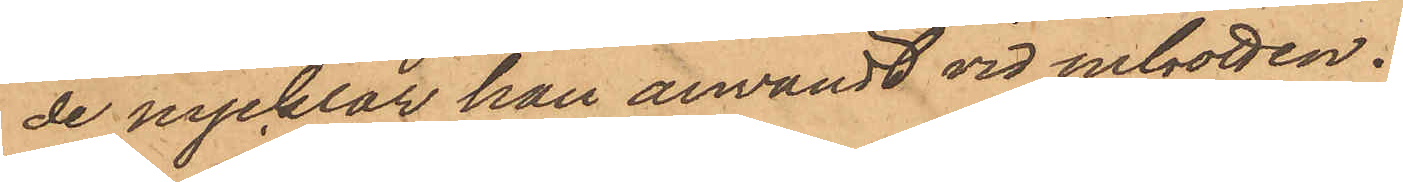de nycklar han användt vid inbrotten.
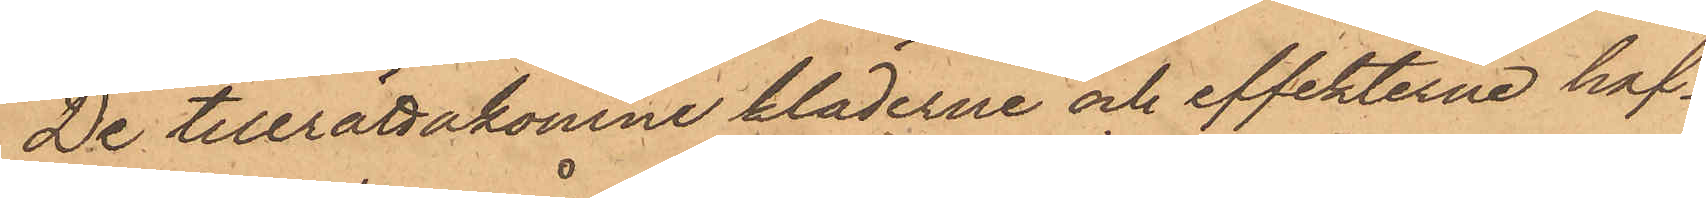De tillrättakomne kläderne och effekterna haf¬
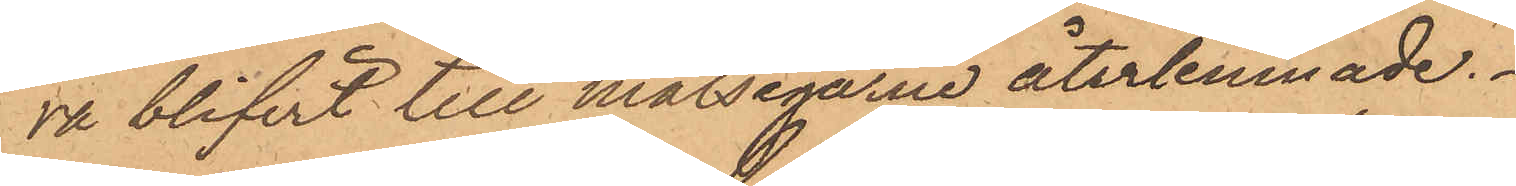va blifvit till målsegarne återlemnade.
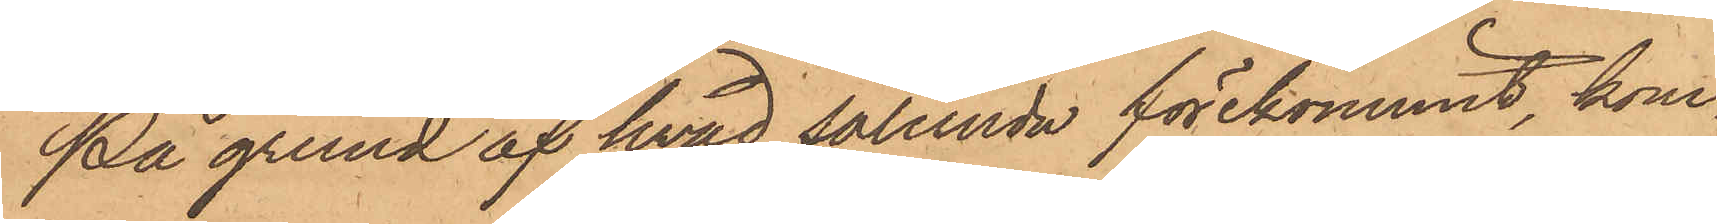På grund af hvad sålunda förekommit, kom¬
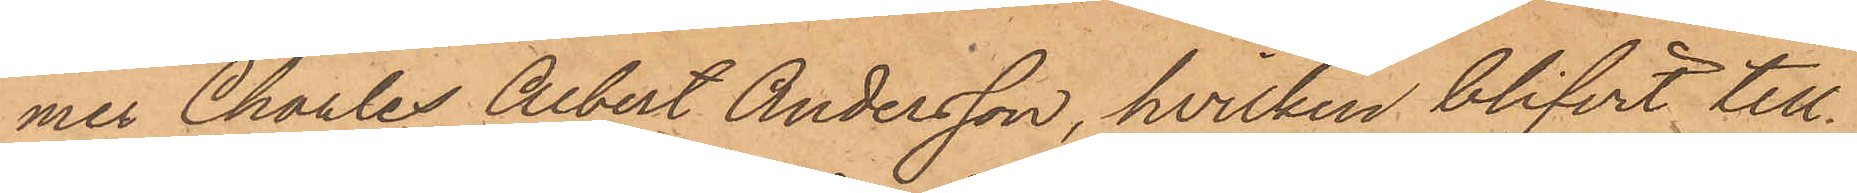mer Charles Albert Andersson, hvilken blifvit till
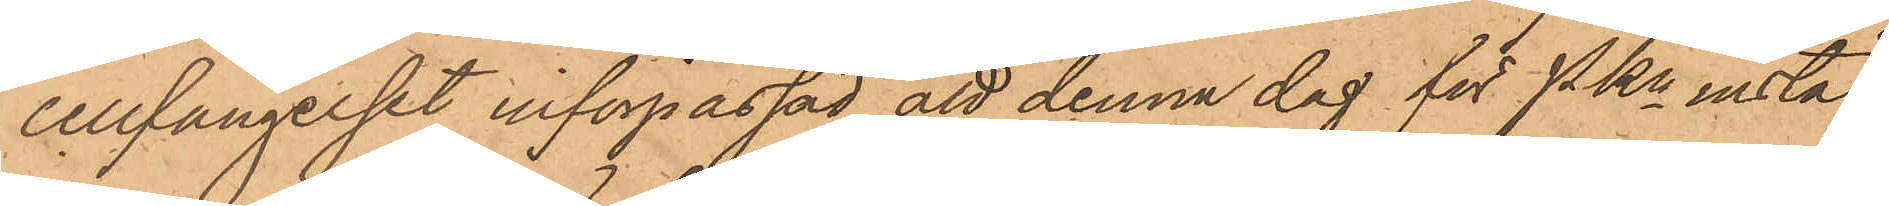cellfängelset införpassad att denna dag för PKn instäl¬
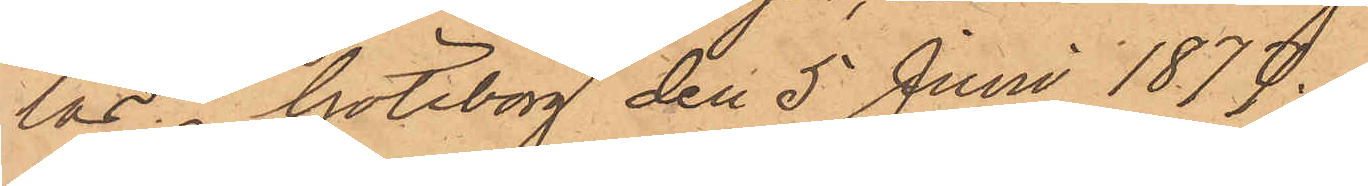las. Göteborg den 5 Juni 1877.
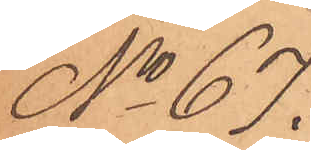No 67.
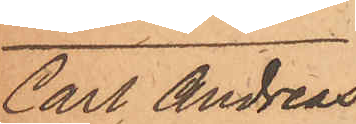Carl Andreas
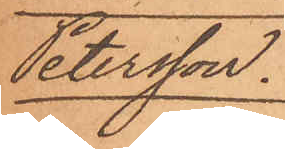Petersson.
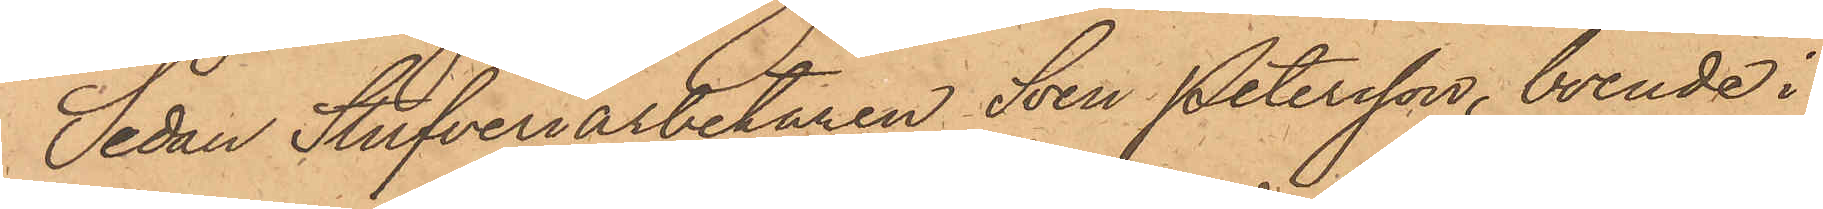Sedan Stufveriarbetaren Sven Petersson, boende i
